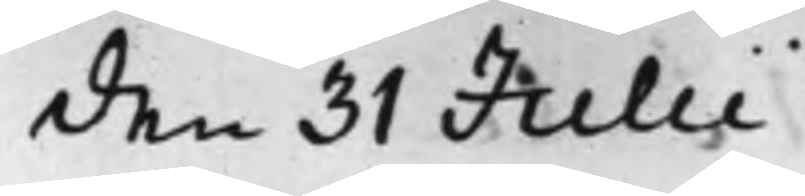den 31 Julii.
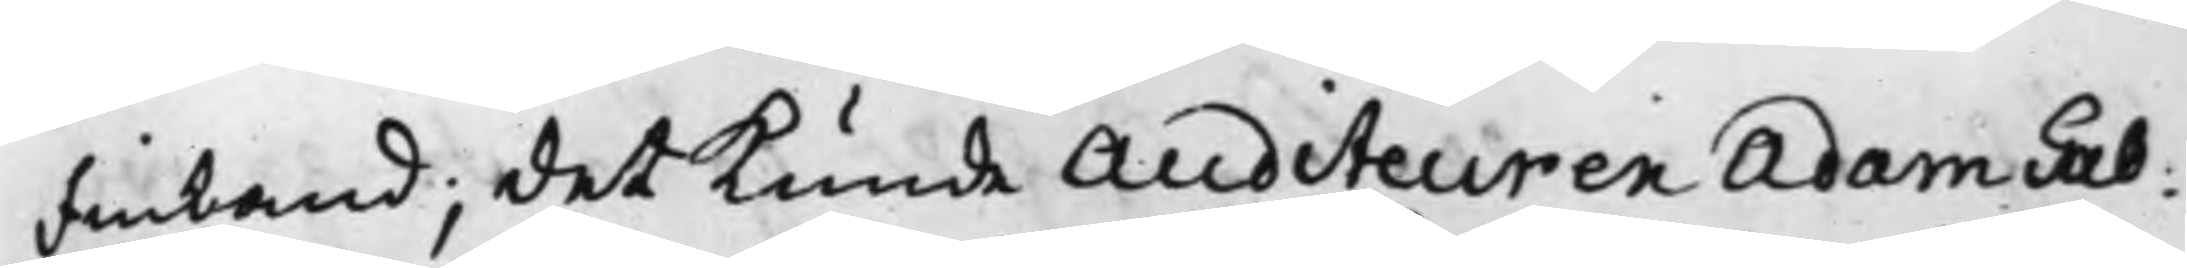Finland; det kunde Auditeuren Adam Gab:
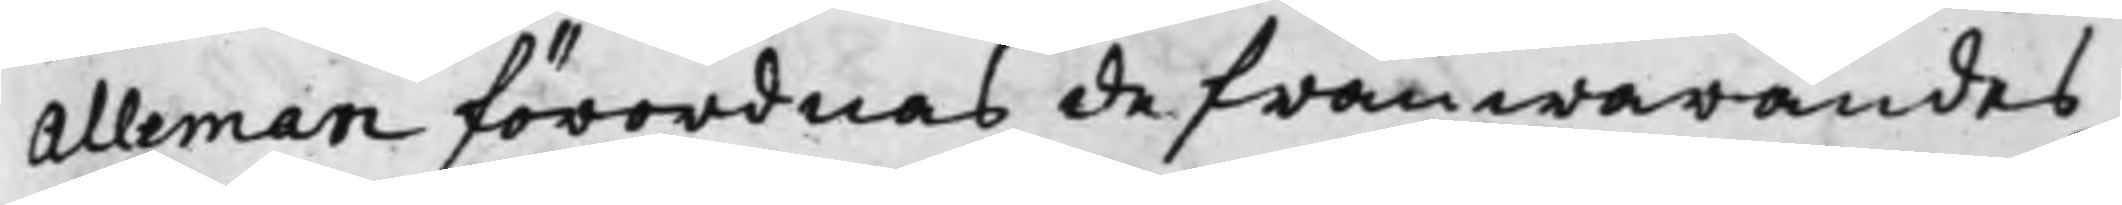Alleman förordnas de frånwarandes
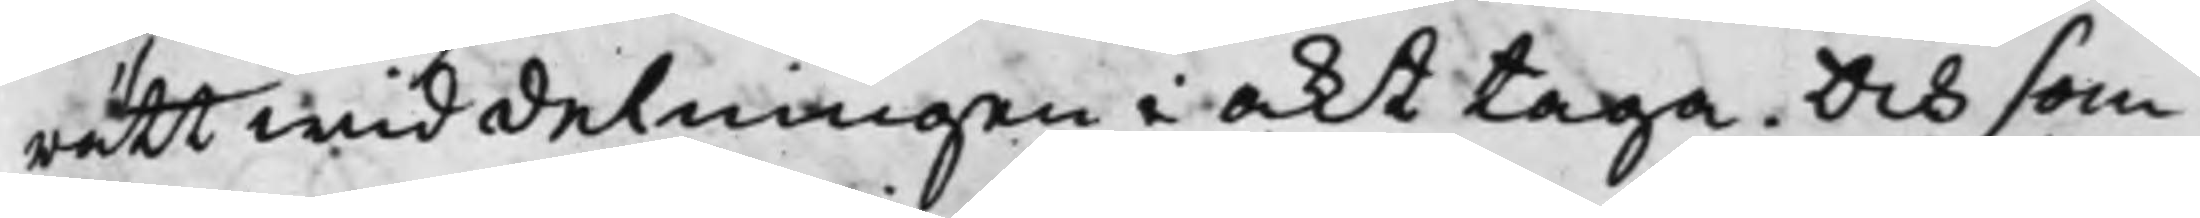rätt wid delningen i akt taga. Och som
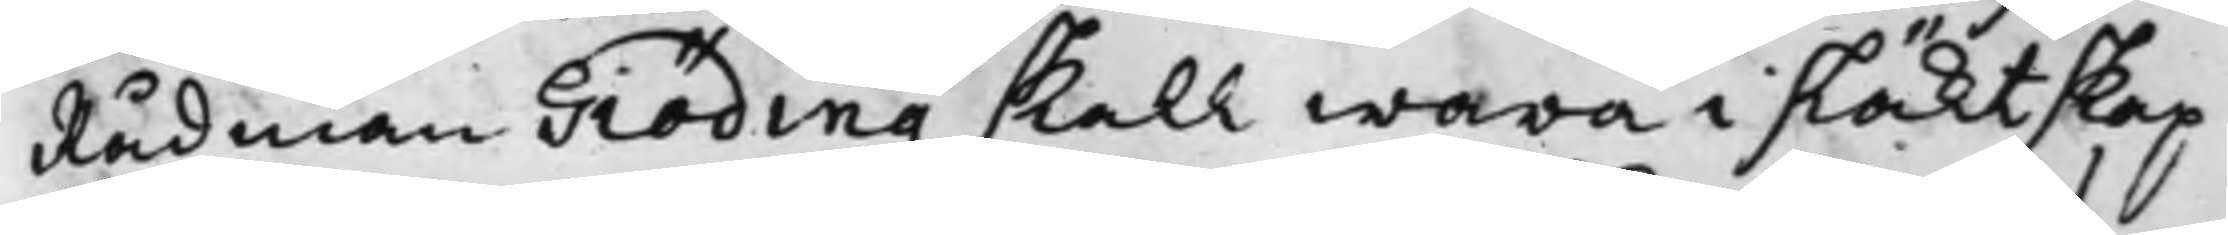Rådman Giöding skall wara i släktskap
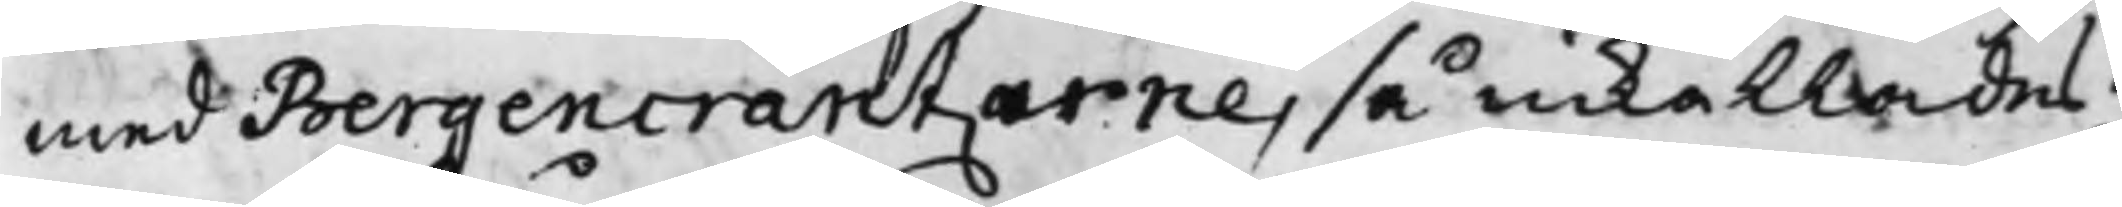med Bergencrantzerne, så inkallades
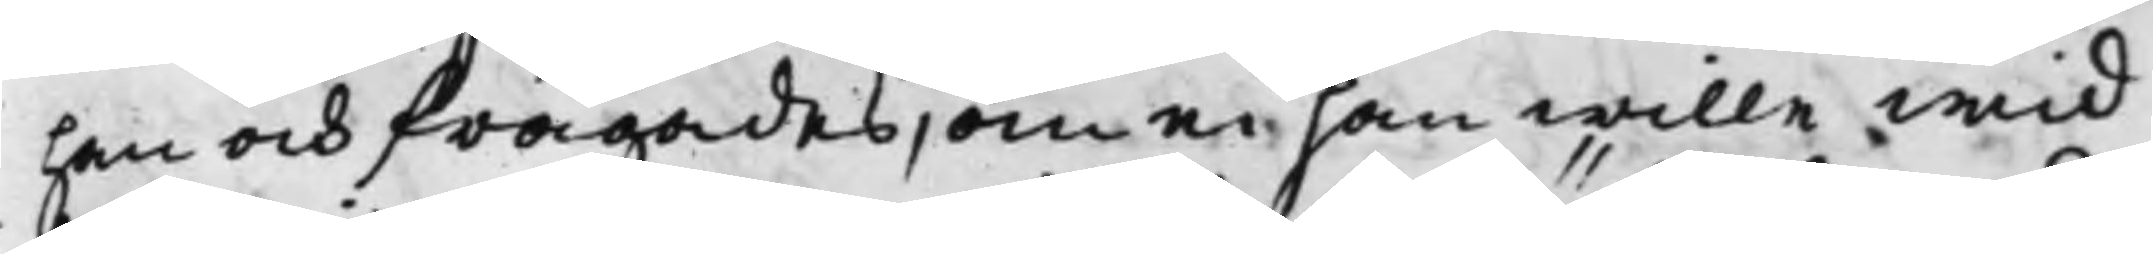han och frågades, om ei han wille wid
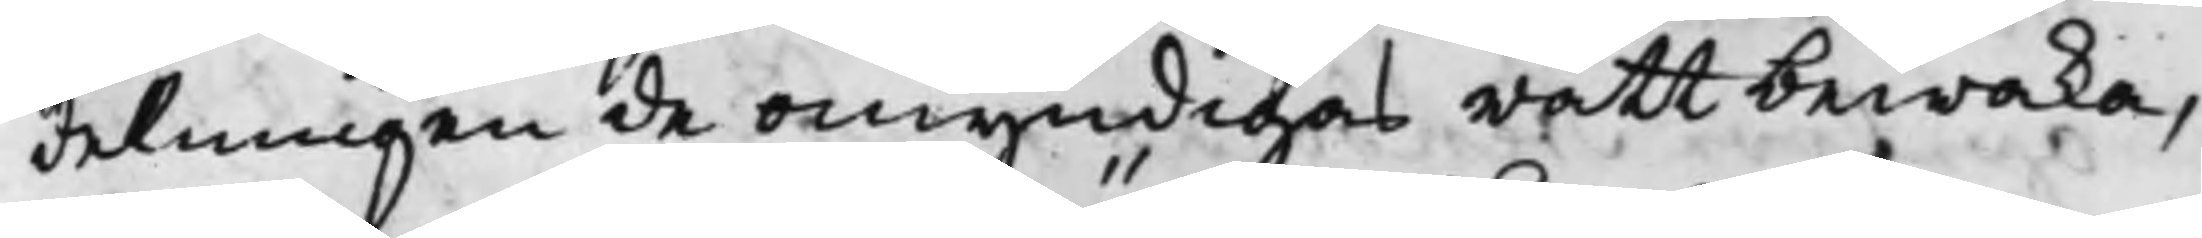delningen de omyndigas rätt bewaka,
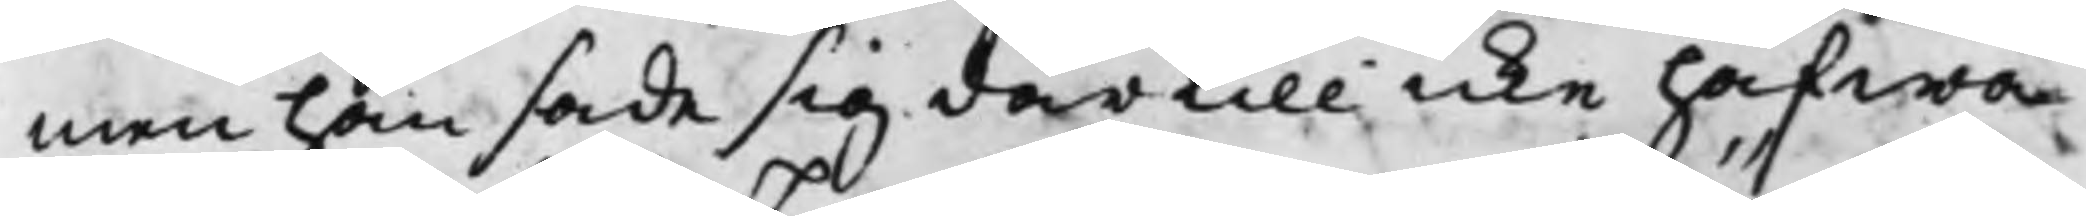men han sade sig därtill icke hafwa
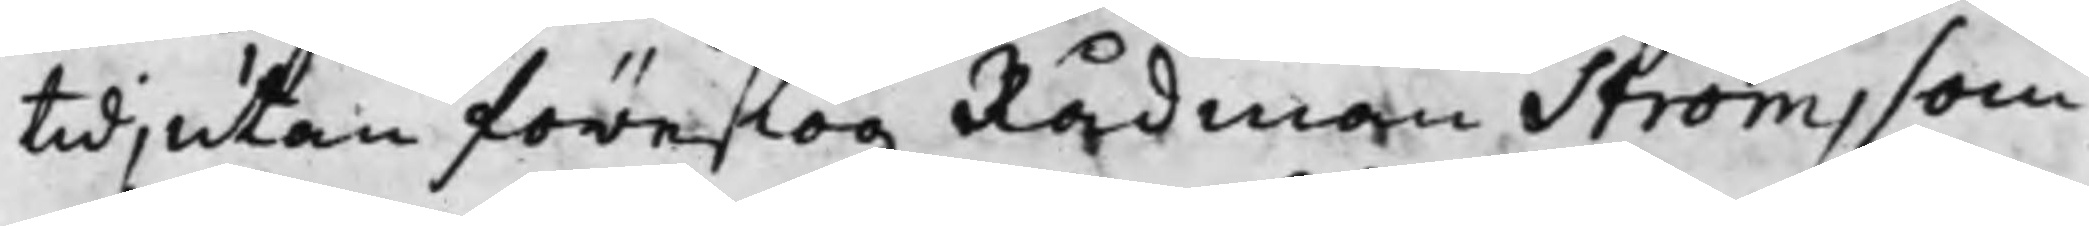tid, utan föreslog Rådman Ström, som
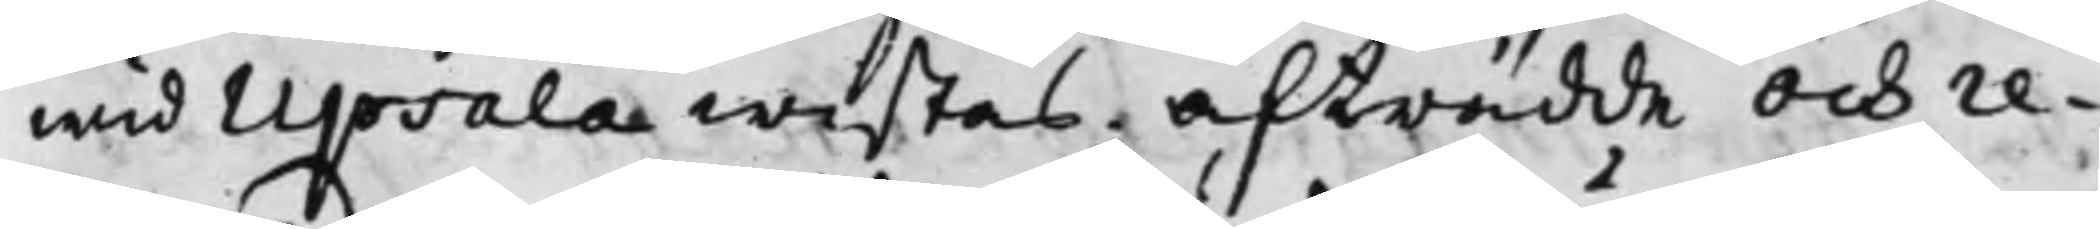wid Upsala wistas. Afträdde och re¬
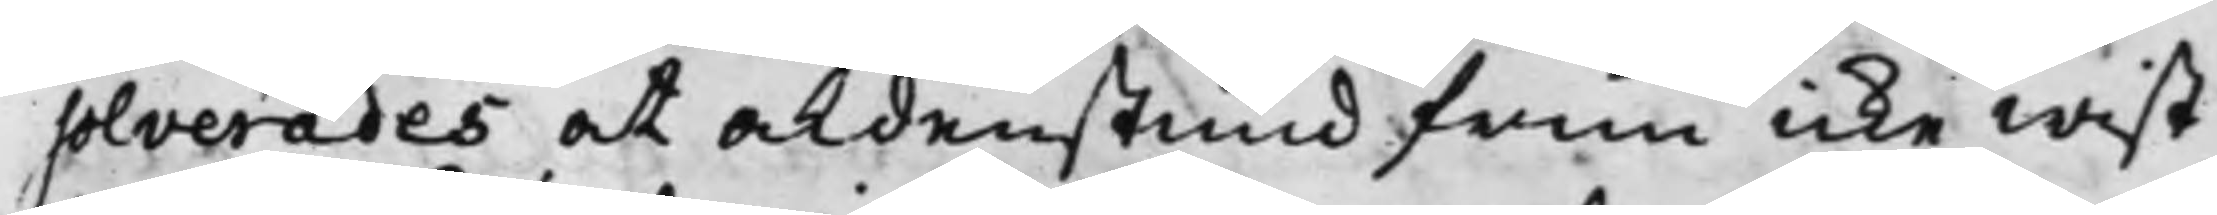solverades at aldenstund frun icke wist
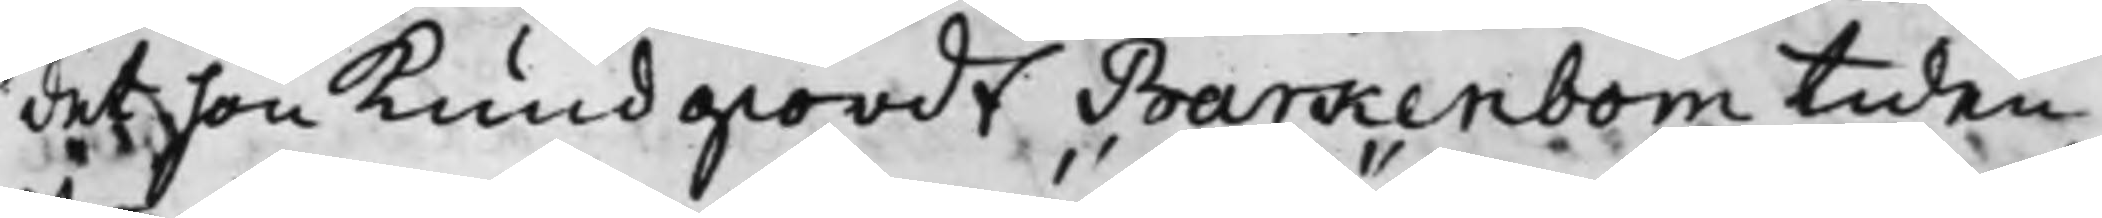det hon kundgiordt Barkenbom tiden
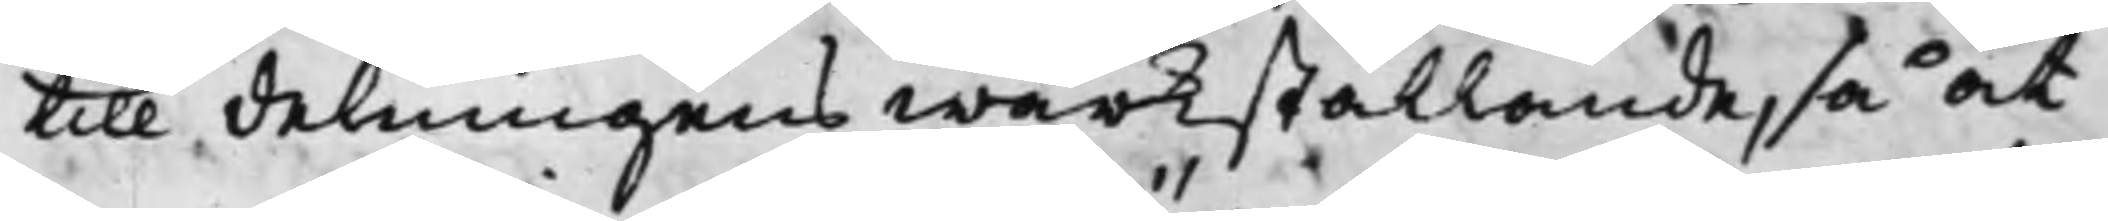till delningens wärkställande, så at
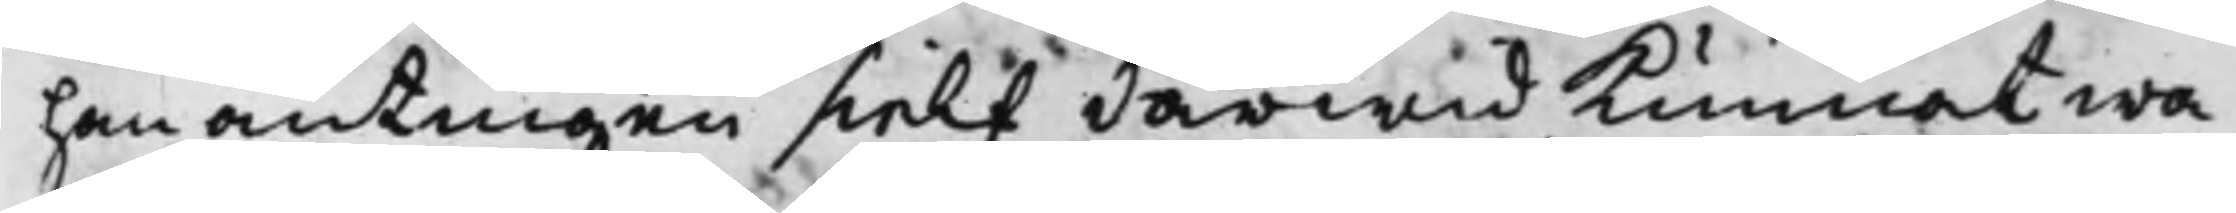han antingen sielf därwid kunnat wa¬
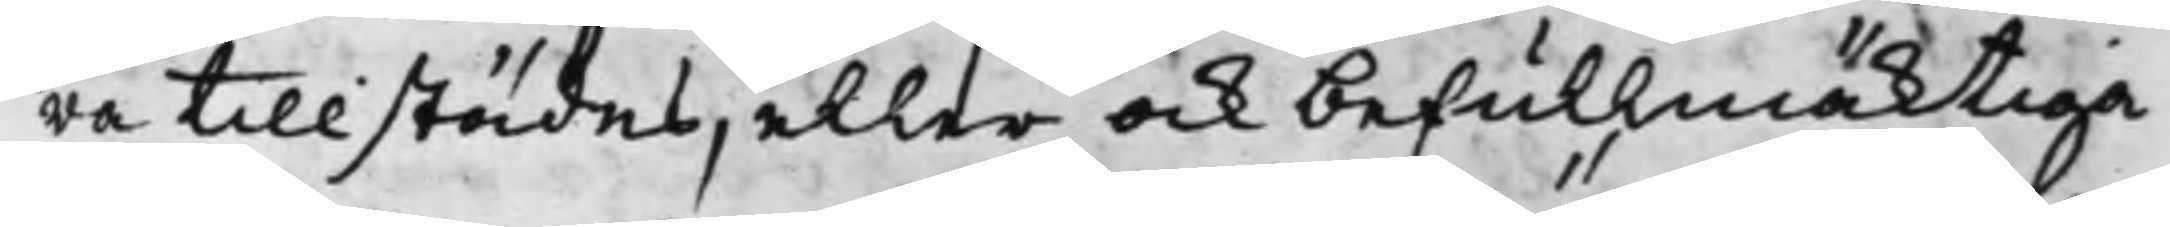ra tillstädes, eller ock befullmäktiga
